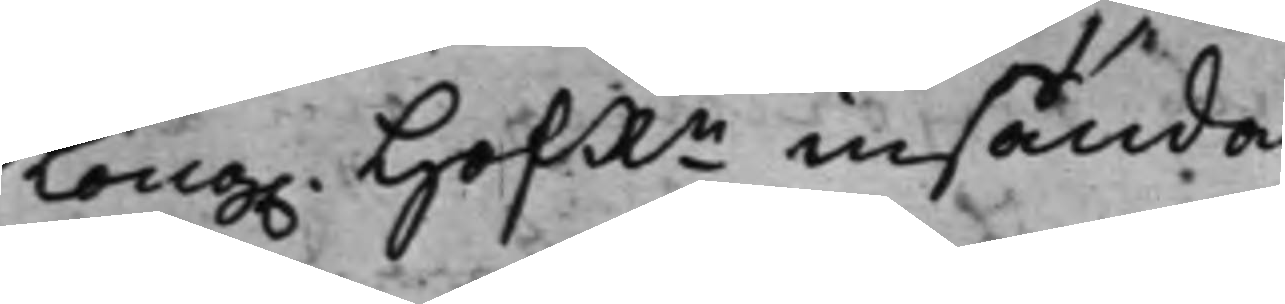Kong. HofR.n insända.
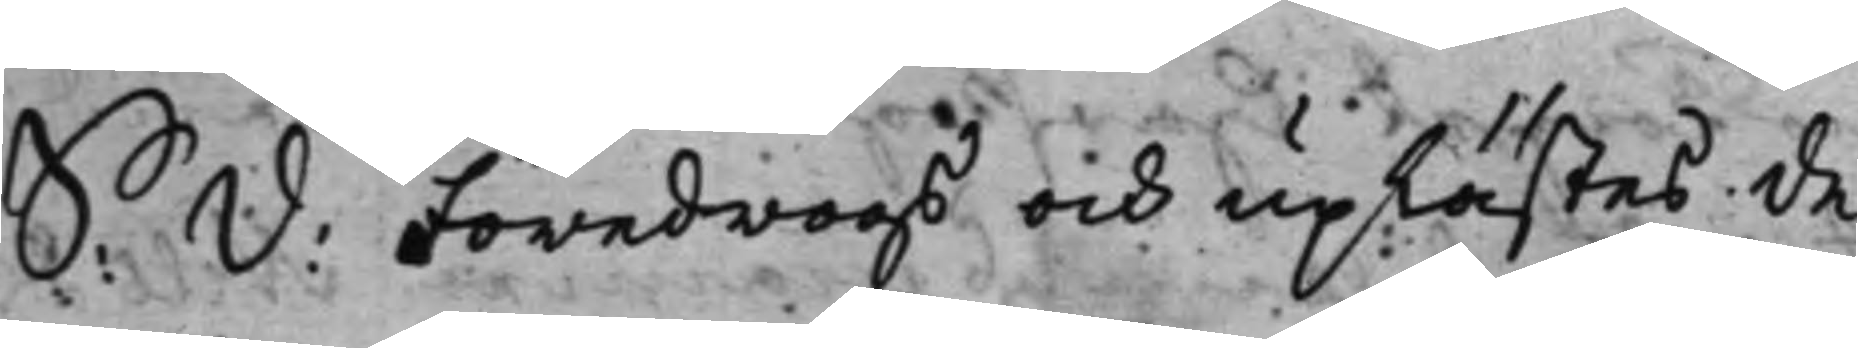S: d: Föredrogs och uplästes de,
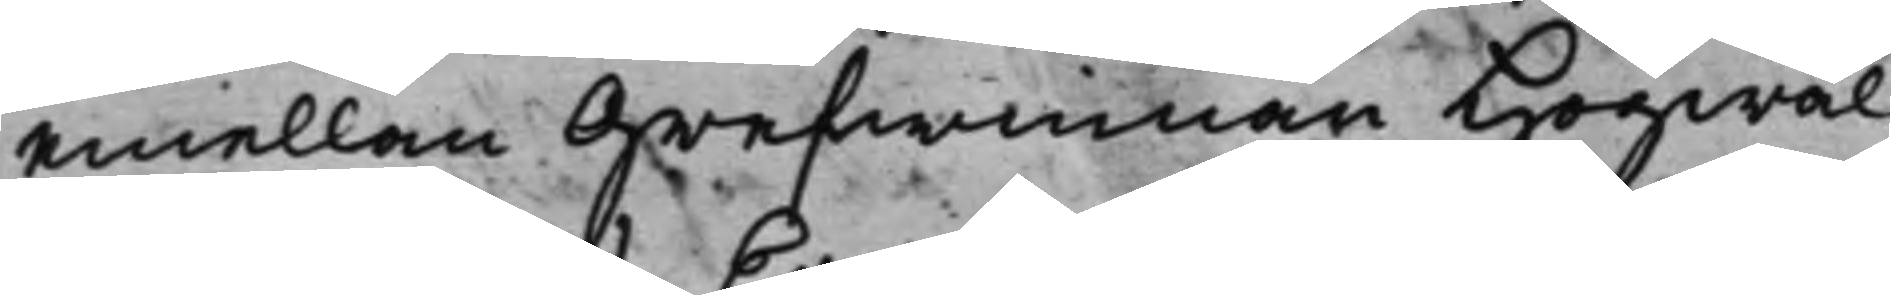emellan Grefwinnan Högwäl¬
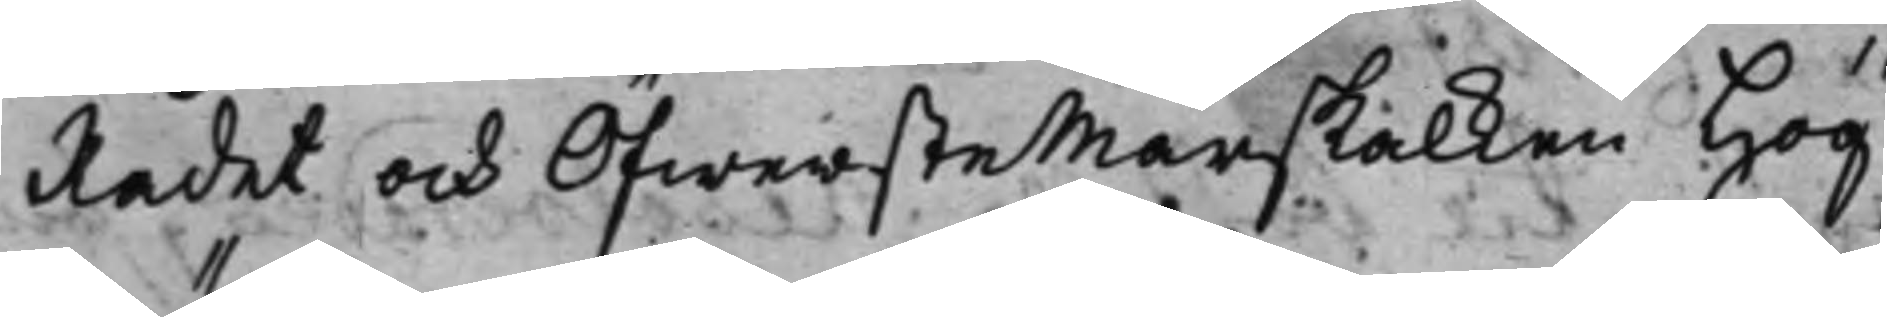Rådet och Öfwerstemarskalken Hög¬
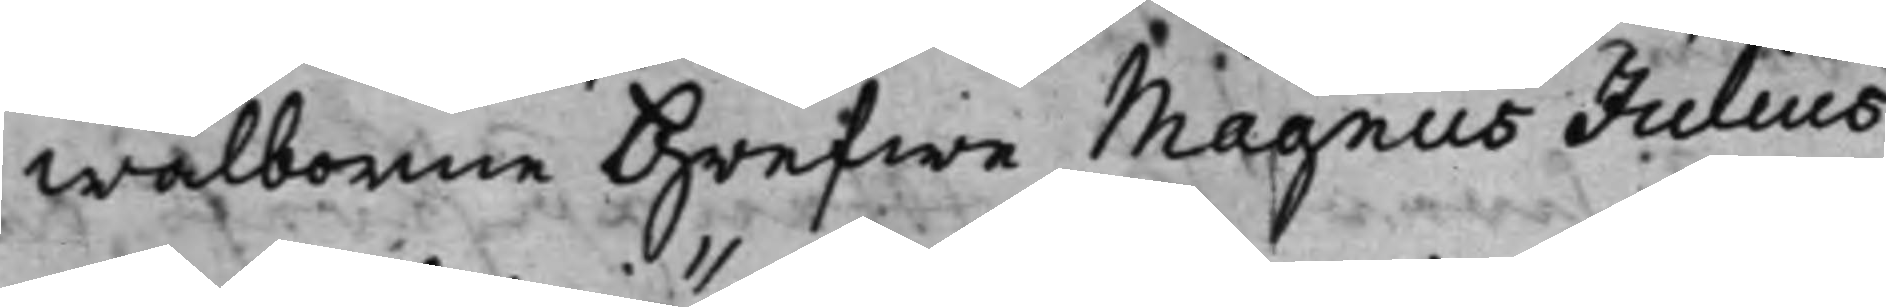wälborne Grefwe Magnus Julius
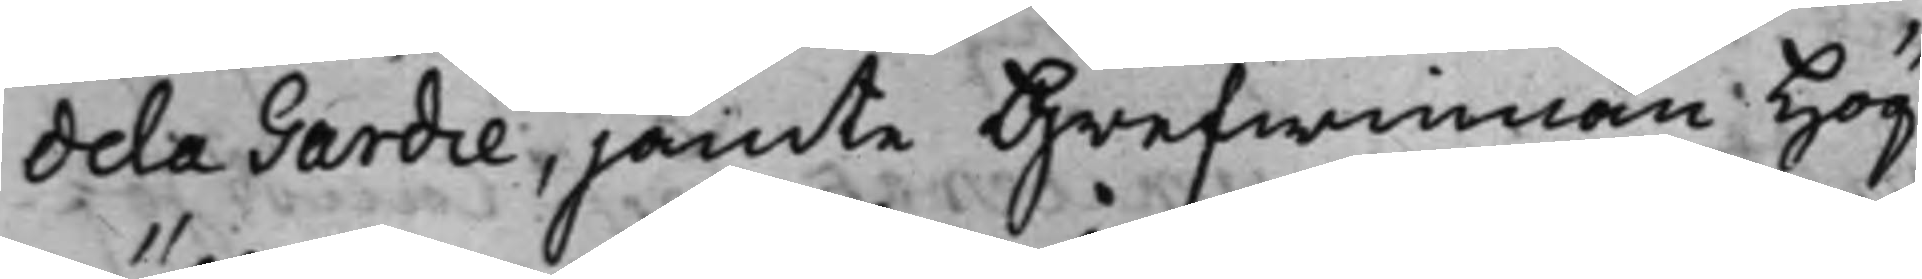dela Gardie, jämte Grefwinnan Hög¬
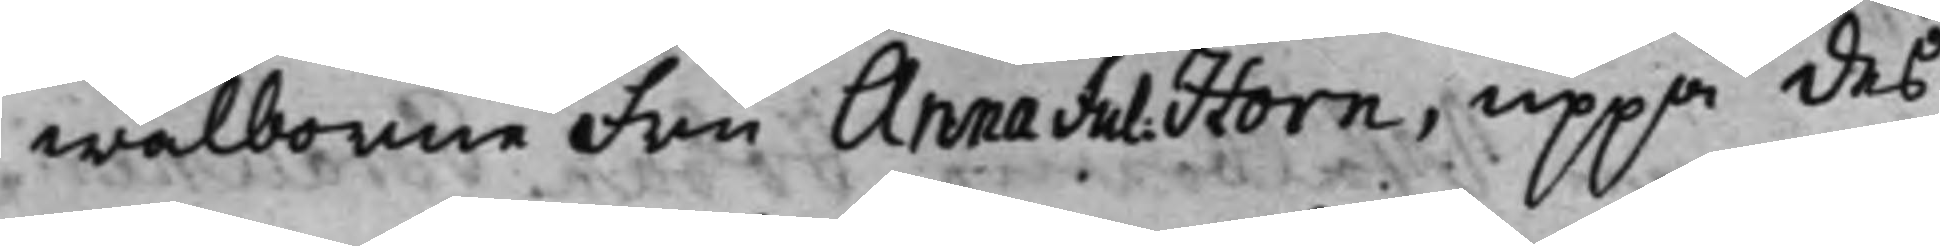wälborne Fru Anna Jul. Horn, uppå des
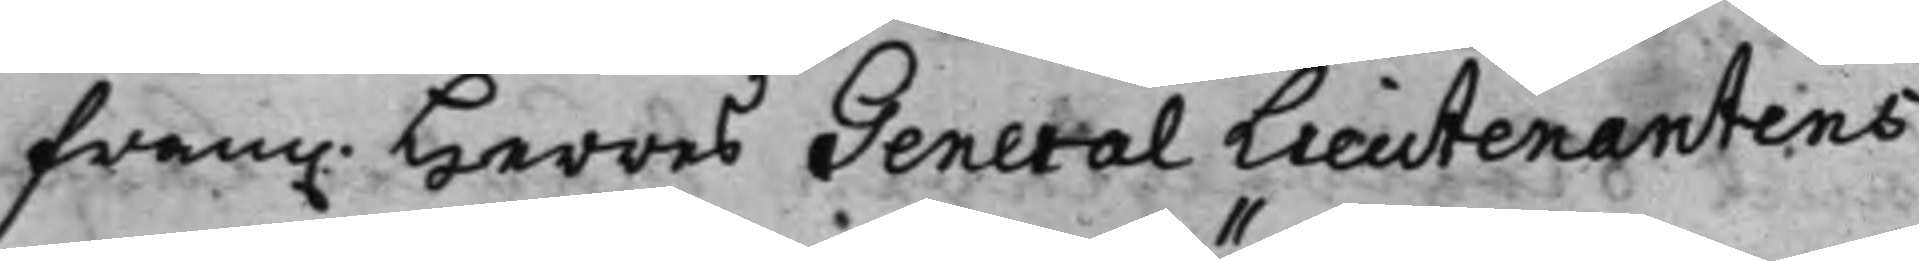fram. Herres General Lieutenantens
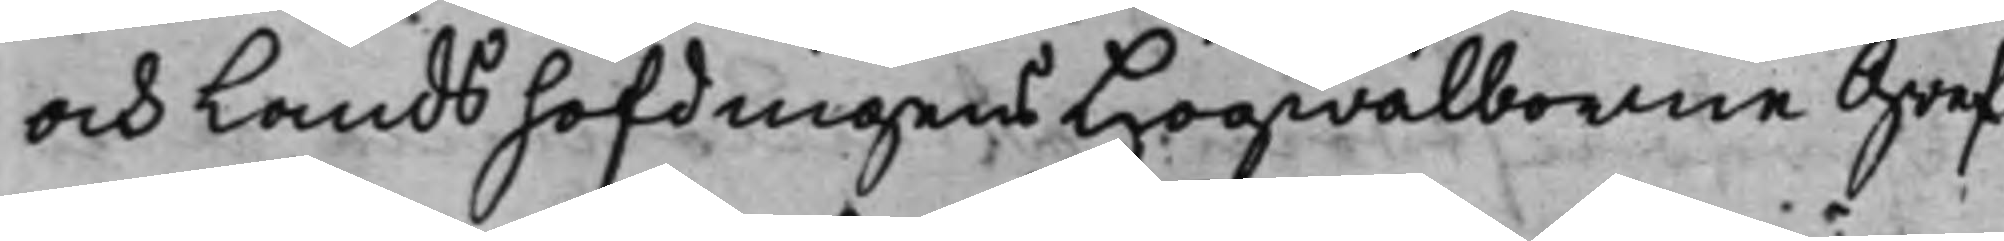och Landshöfdingens Högwälborne Gref¬
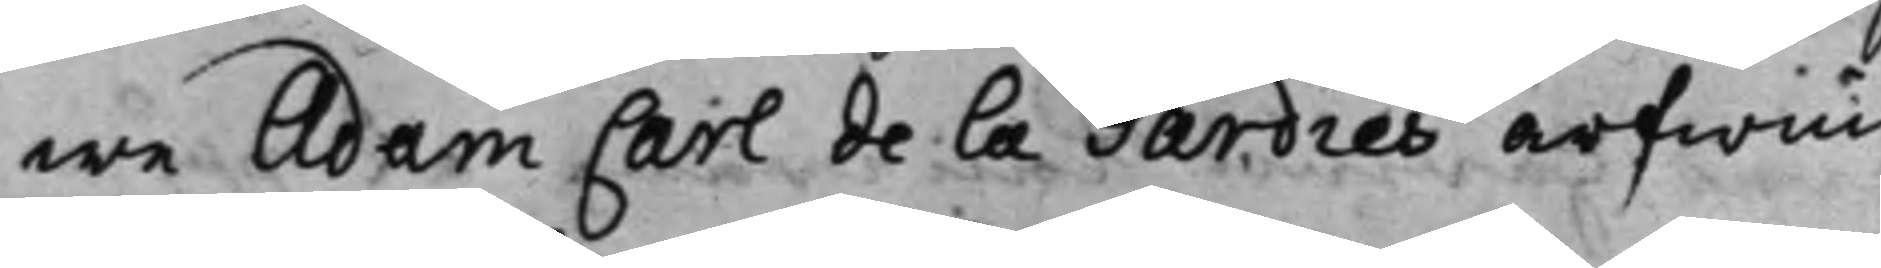we Adam Carl de la Gardies arfwin¬
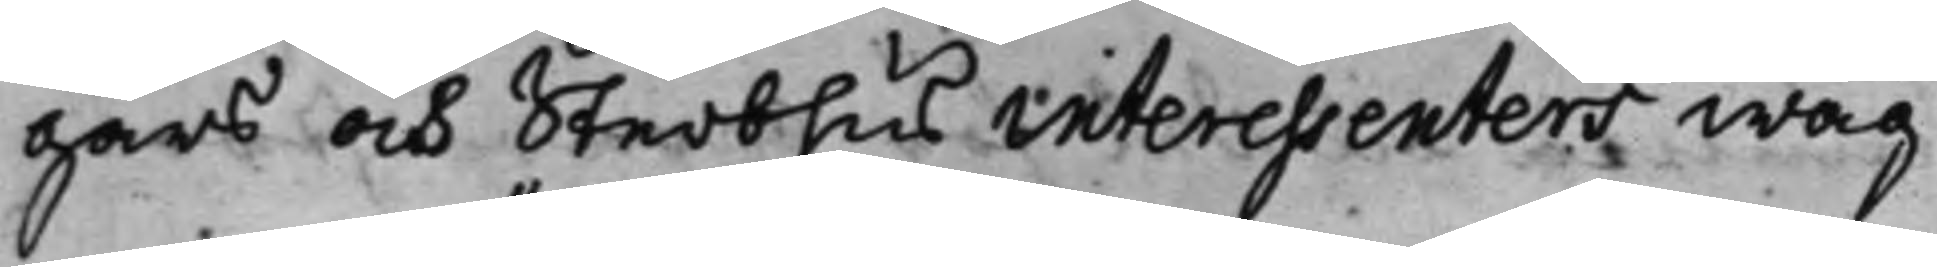gars och Sterbhus interessenters wäg¬
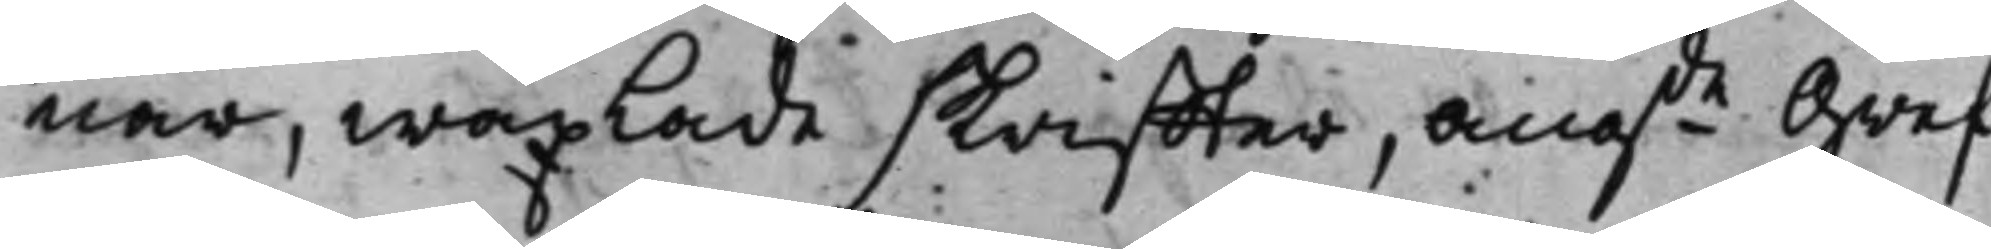nar, wäxlade skriffter, ang.de Gref¬
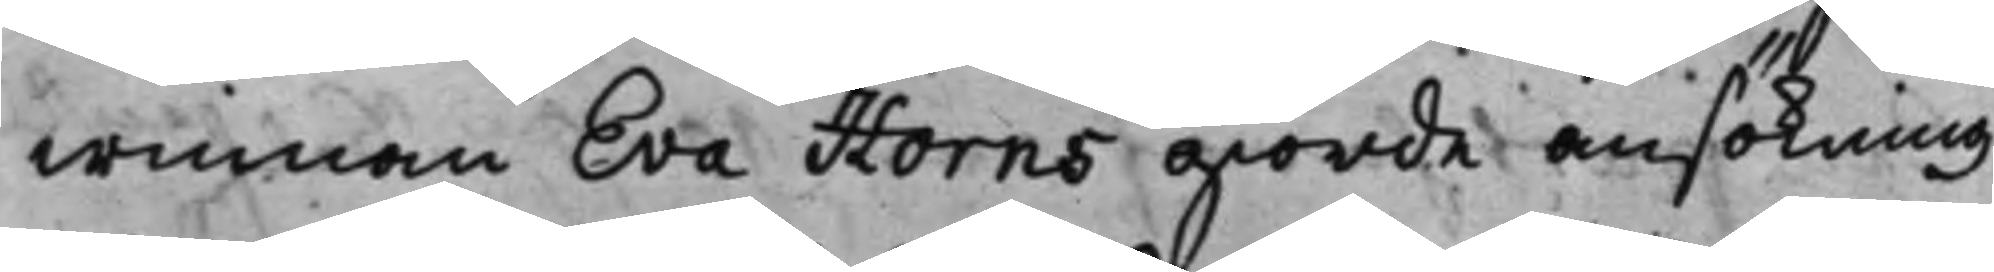winnan Eva Horns giorde ansökning
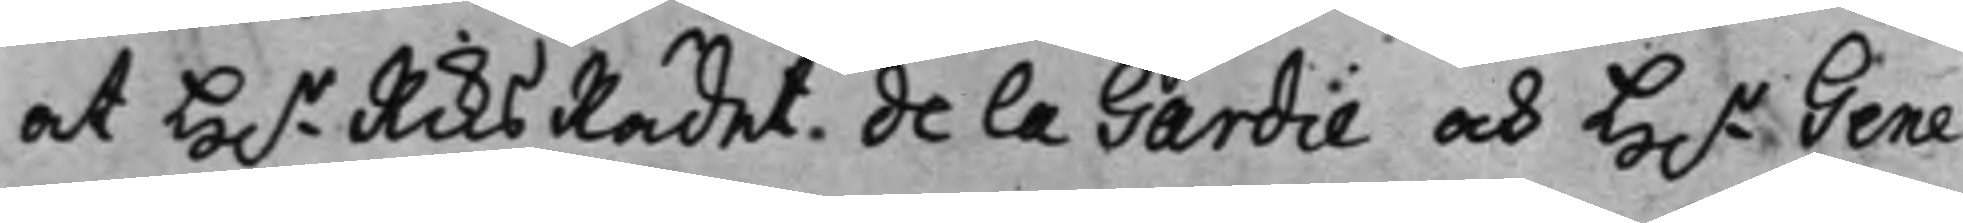at H.r RiksRådet. de la Gardie och H.r Gene¬
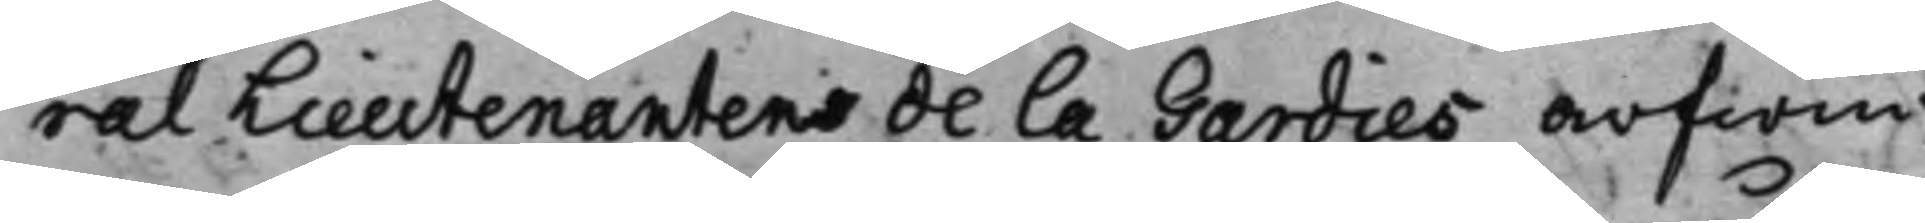ral Lieutenantens de La Gardies arfwin¬
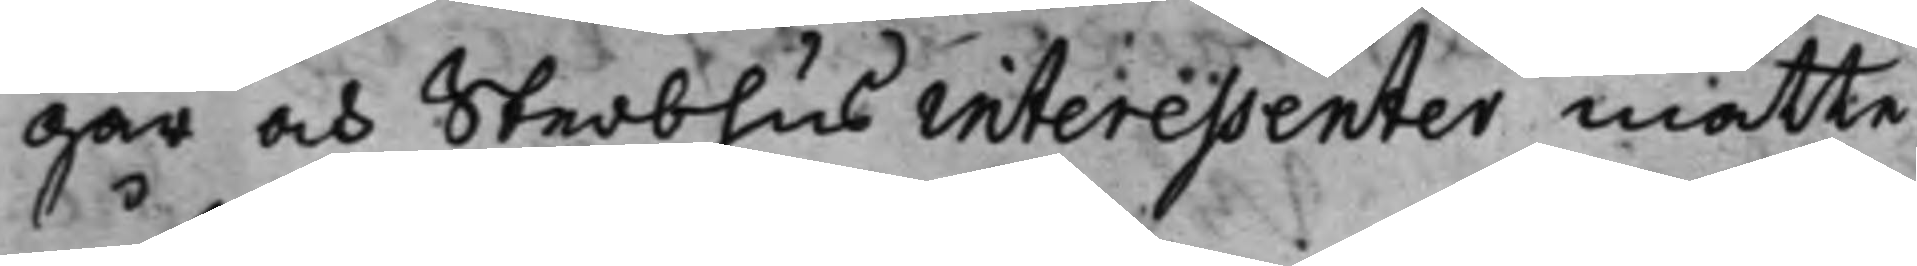gar och Sterbhus interessenter måtte
